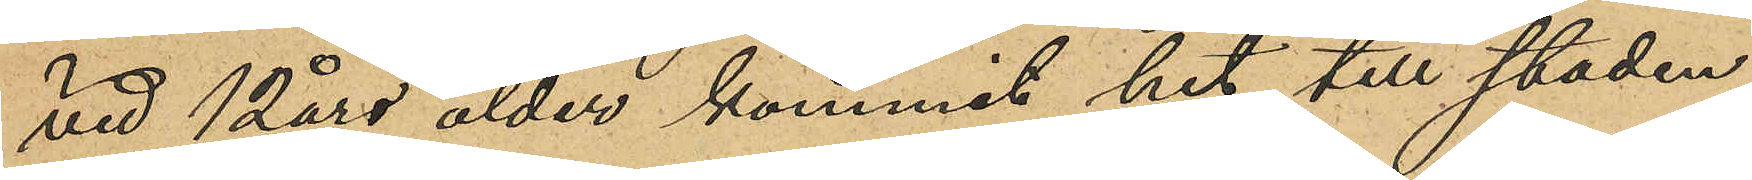vid 12 års ålder kommit hit till staden
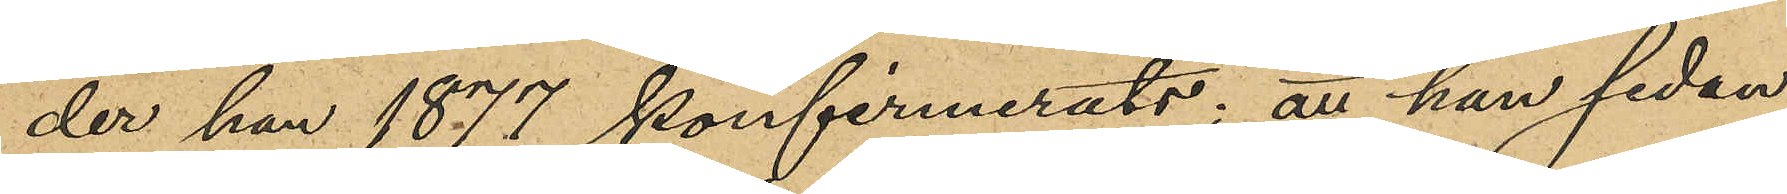der hon 1877 konfirmerats; att hon sedan
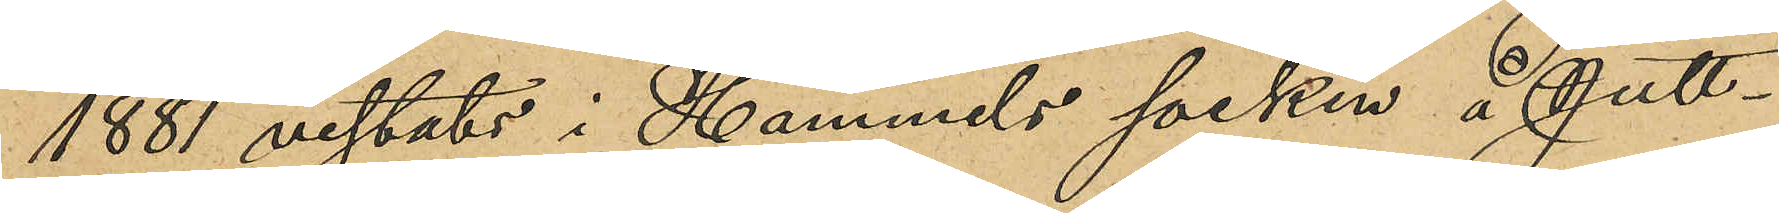1881 vistats i Hammels socken å Jutt¬
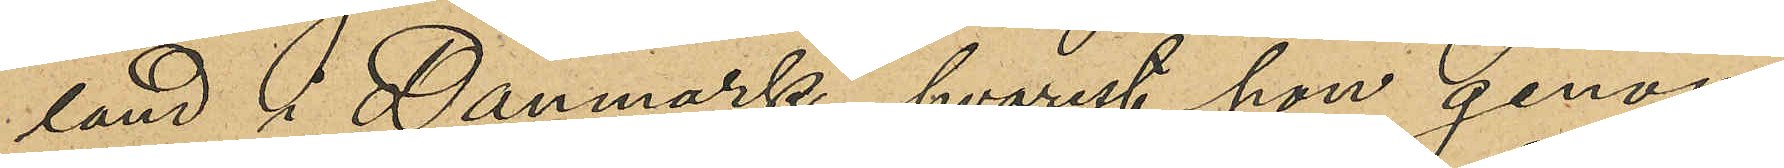land i Danmark, hvarest hon genom
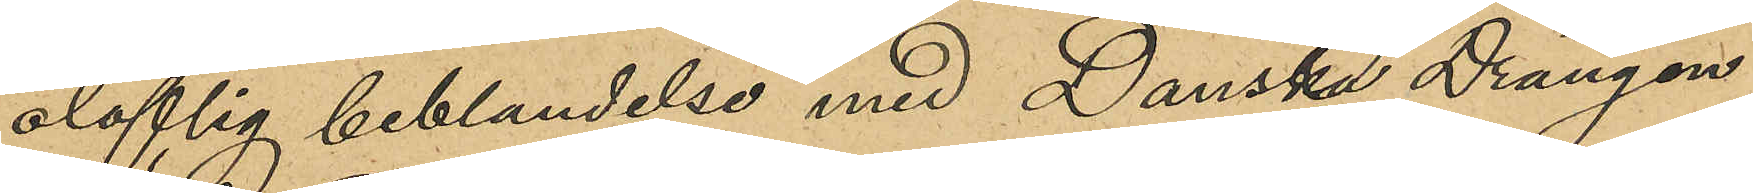oloflig beblandelse med Danska Drängen
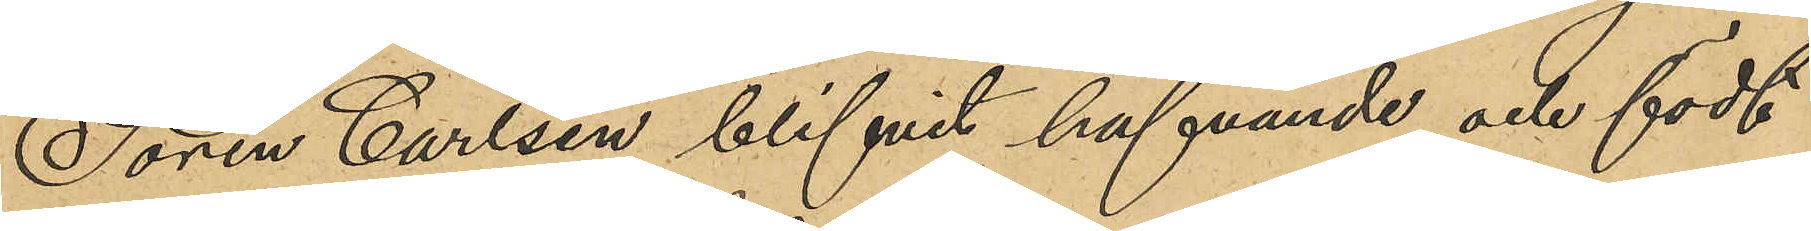Sören Carlsen blifvit hafvande och födt
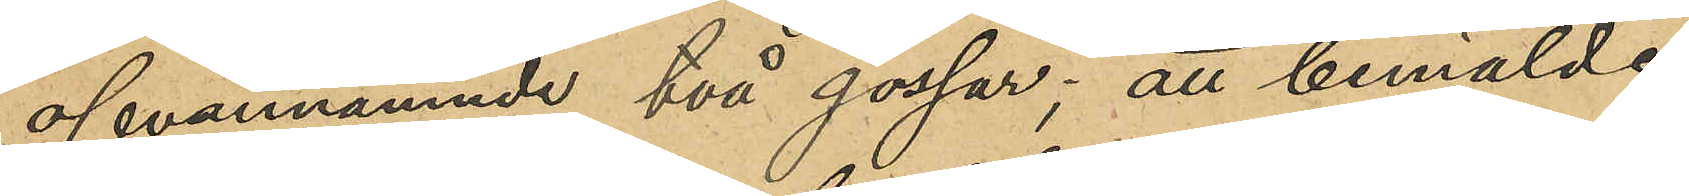ofvannämnde två gossar; att bemälde
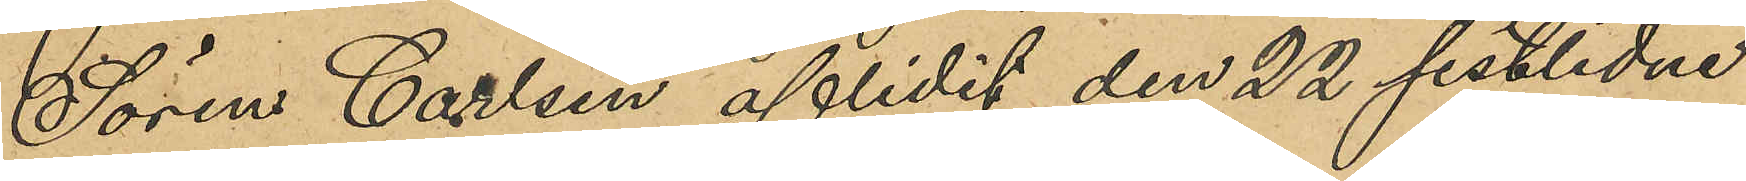Sören Carlsen aflidit den 22 sistlidne
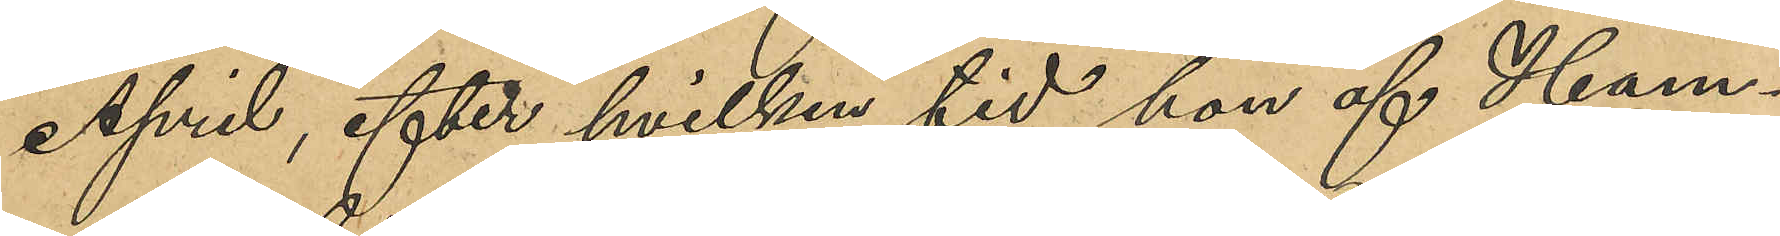April, efter hvilken tid hon af Ham¬
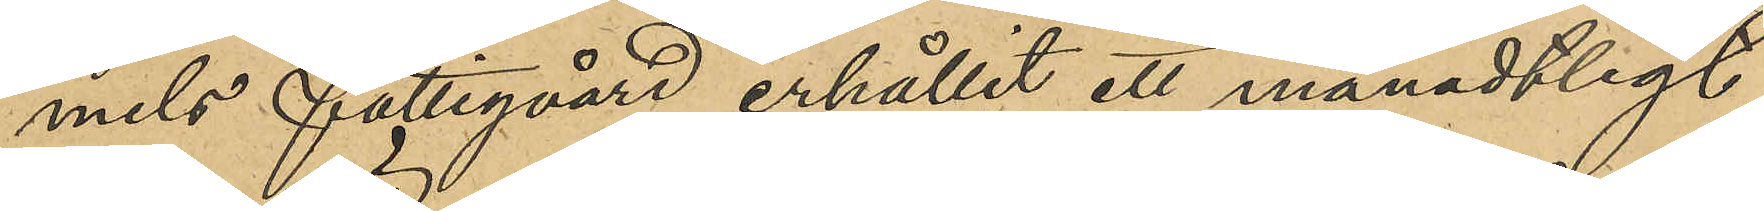mels fattigvård erhållit ett månadtligt
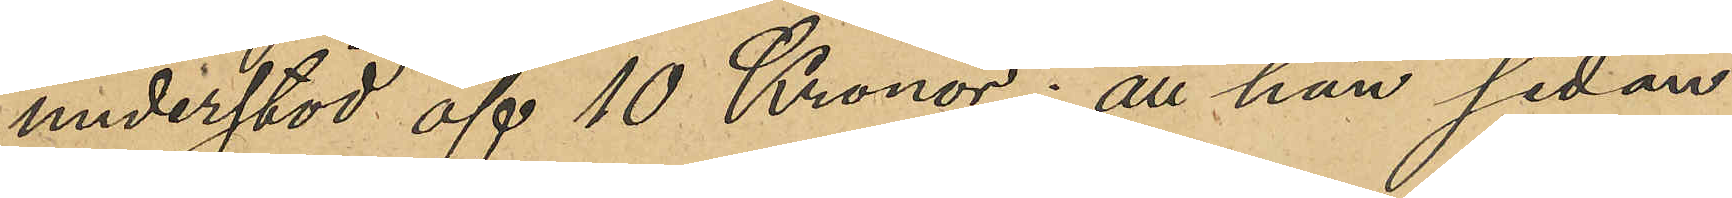understöd af 10 Kronor; att hon sedan
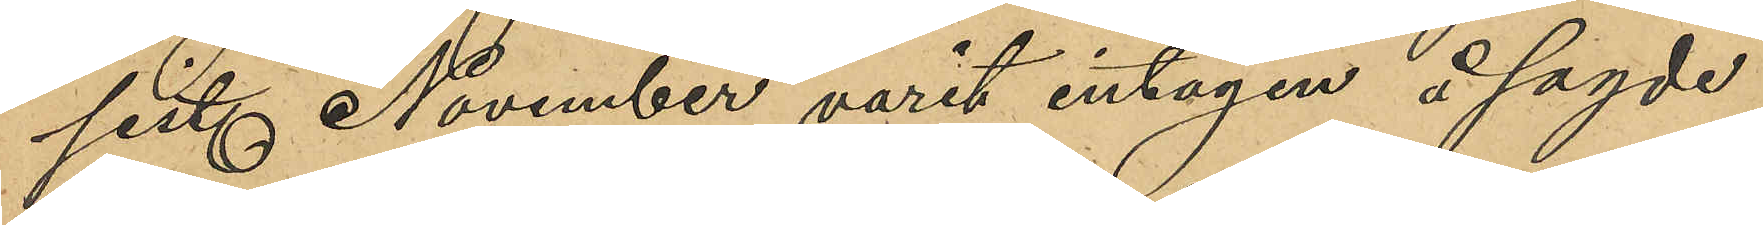sist. November varit intagen å sagde
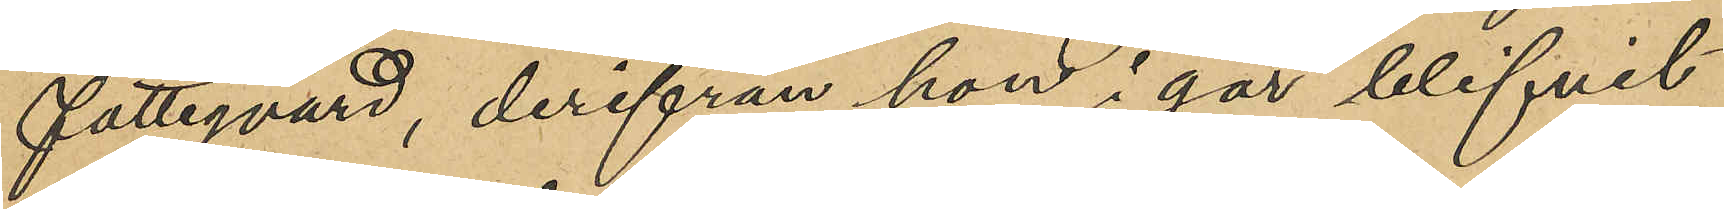Fattigvård, derifrån hon i går blifvit
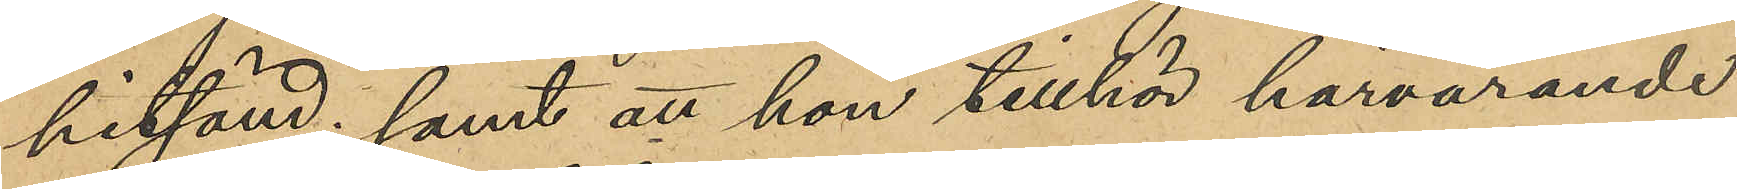hitsänd; samt att hon tillhör härvarande
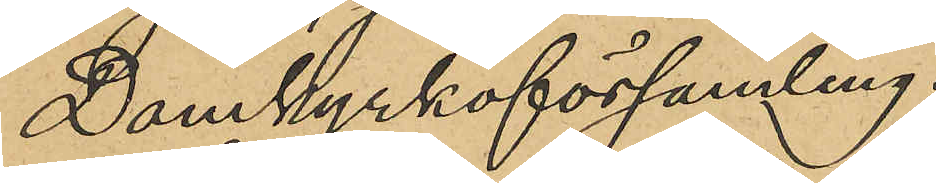Domkyrkoförsamling.
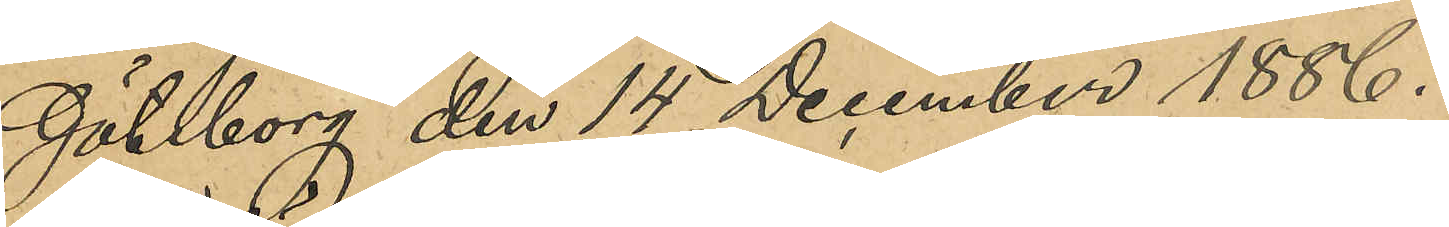Göteborg den 14 December 1886.
